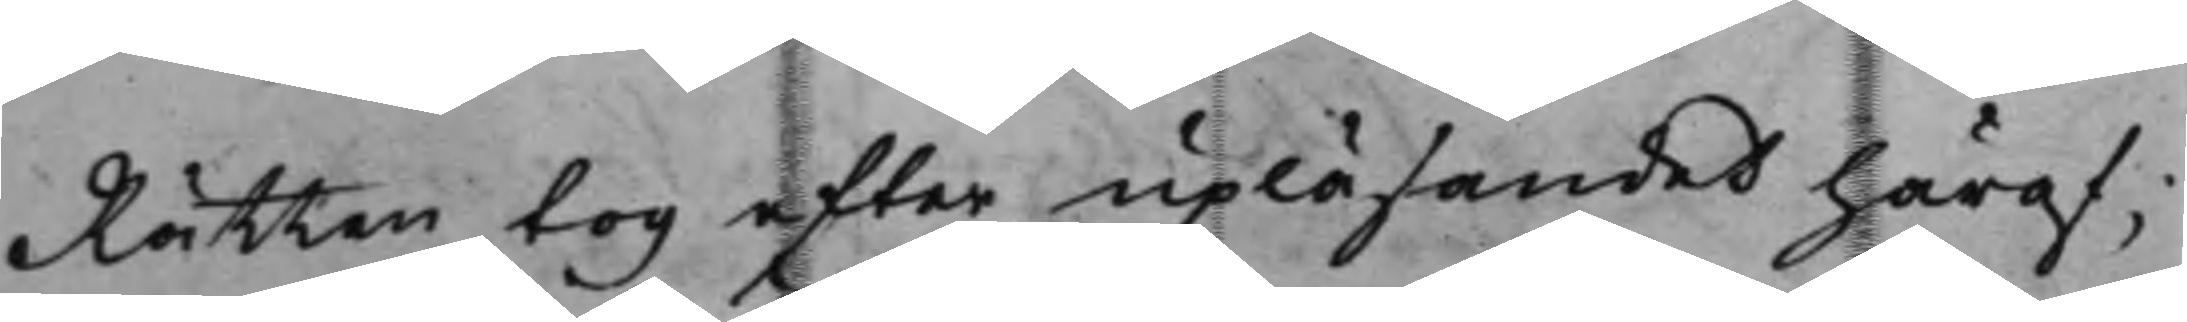Rätten tog efter upläsandet häraf;
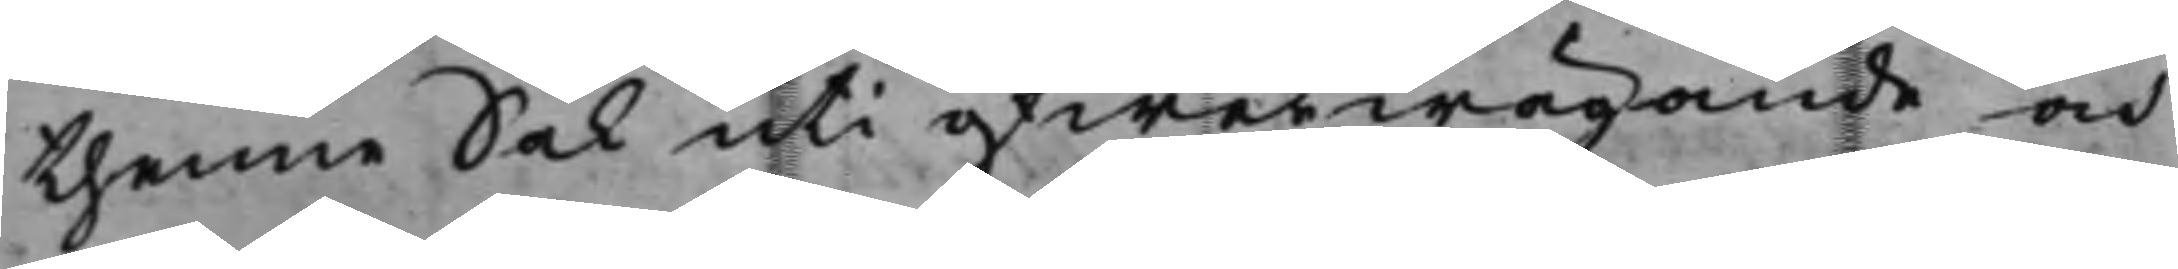thenne Sak uti öfwerwägande och
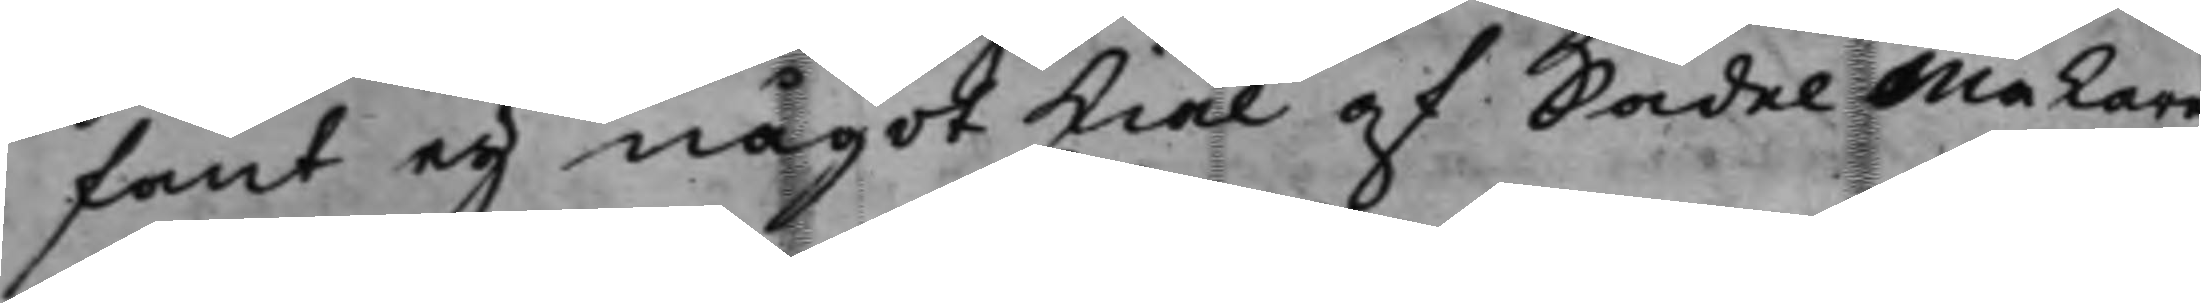fant eij något skiäl af SadelMakare
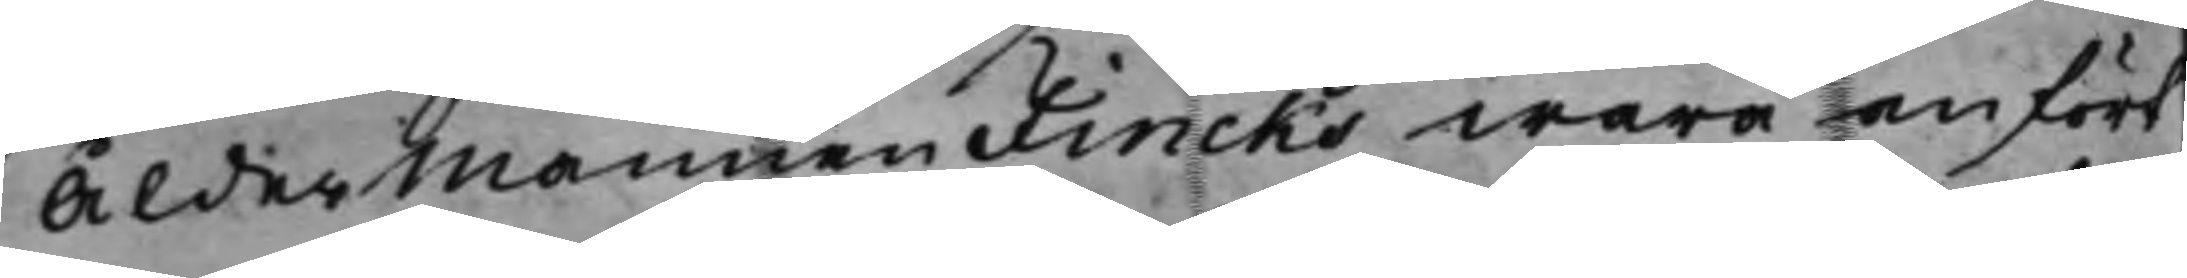Åldermannen Fincks wara anfört,
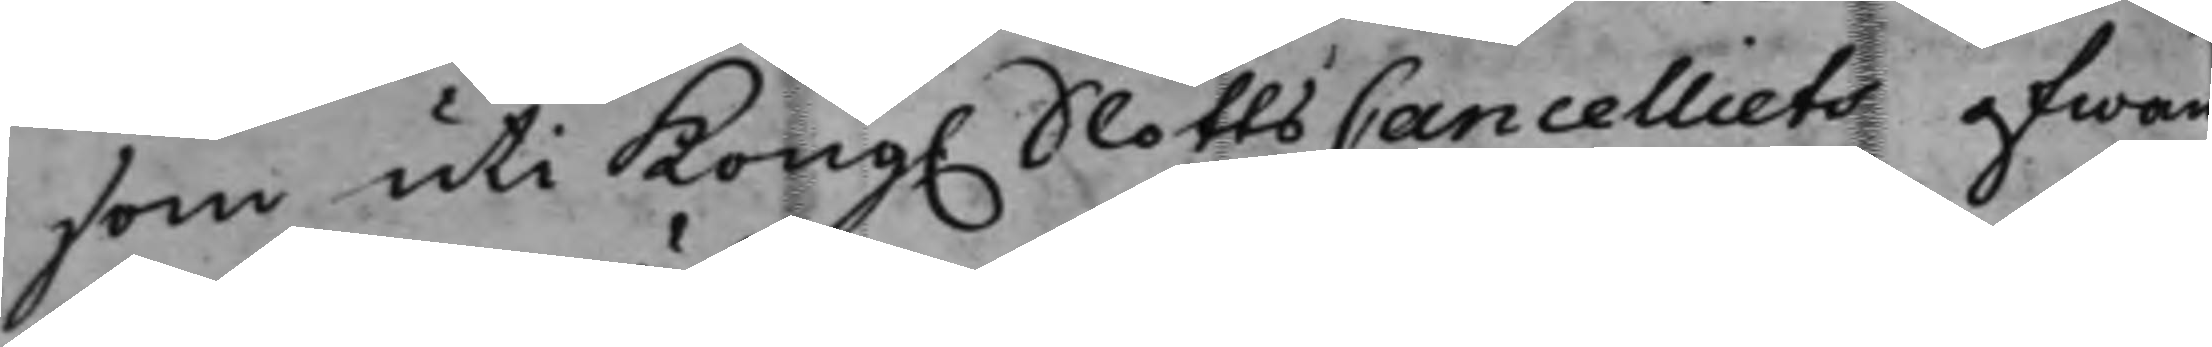som uti Kong. SlottsCancelliets ofwan¬
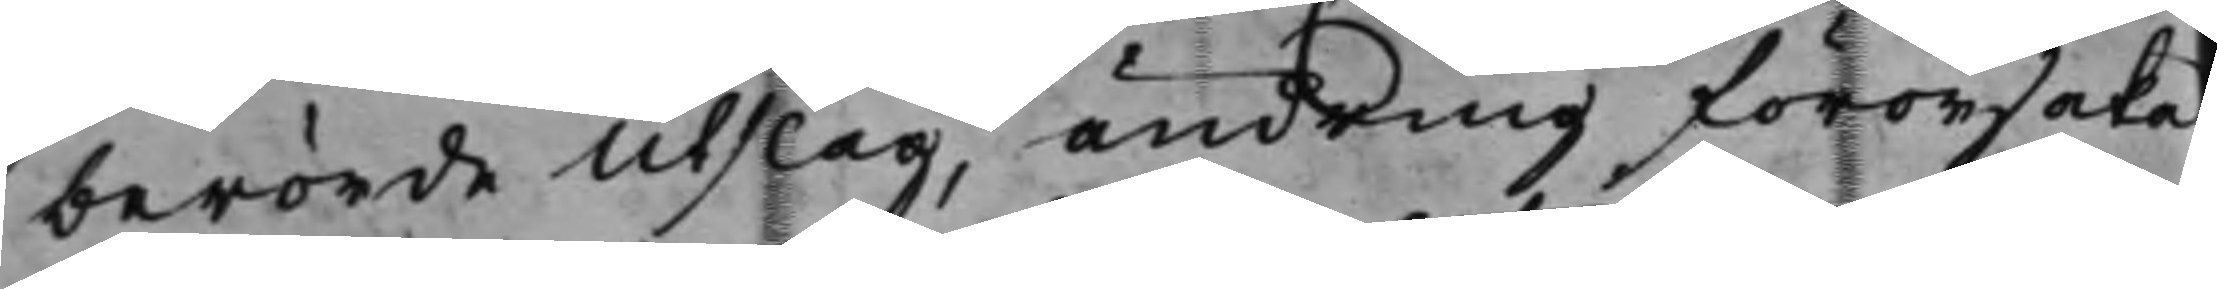berörde Utslag ändring förorsaka
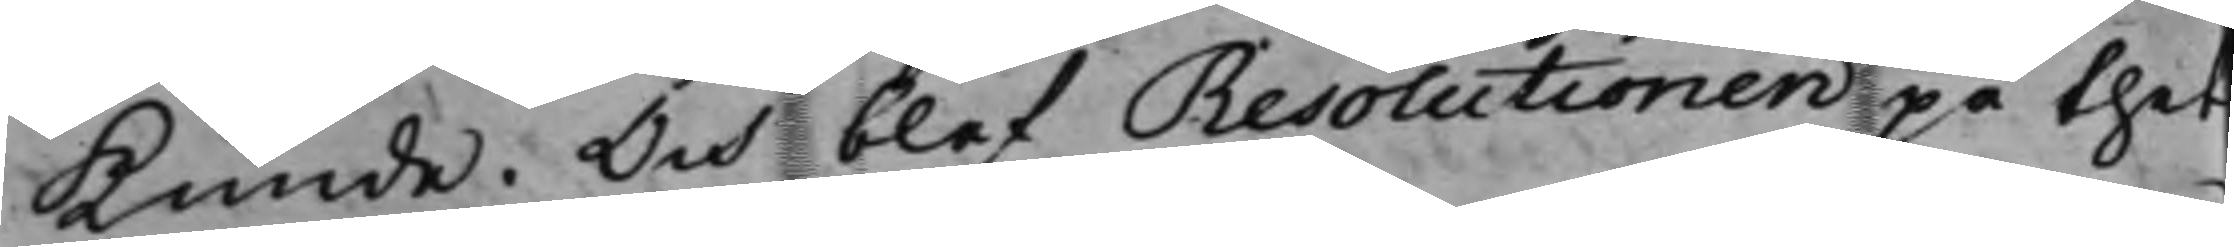kunde. Och blef Resolutionen på thet
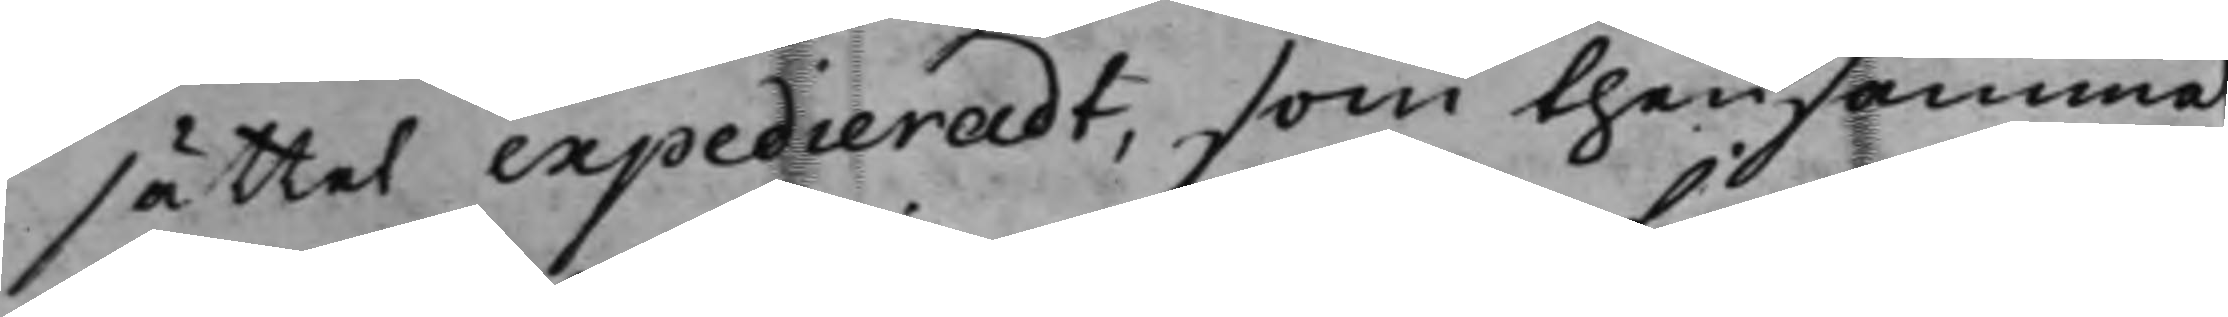sättet expedieradt, som thensamma
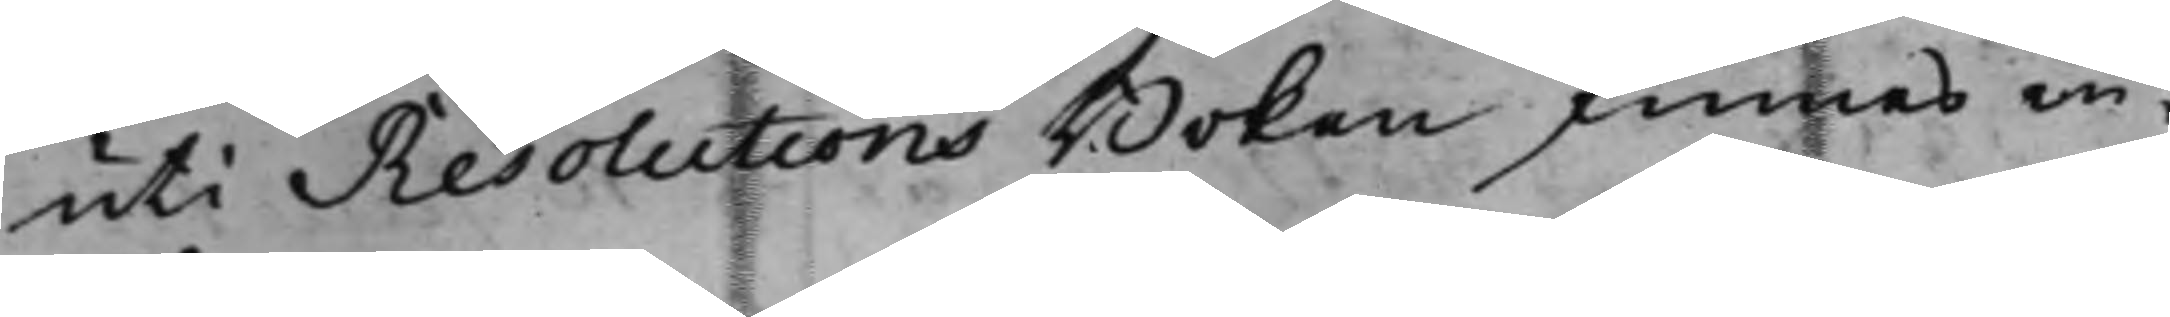uti Resolutions Boken finnes in¬
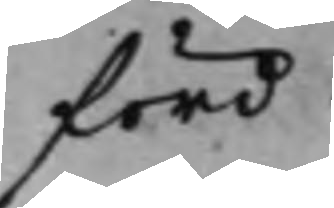förd.
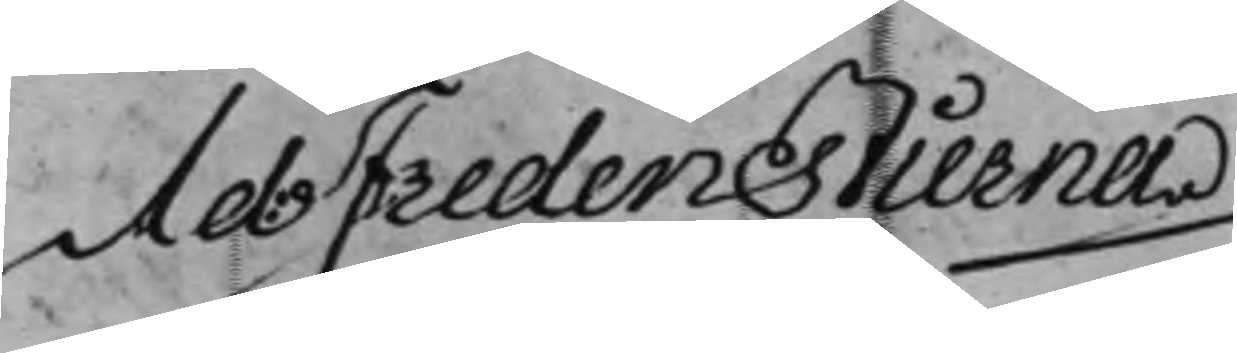Ad: Fredenstierna
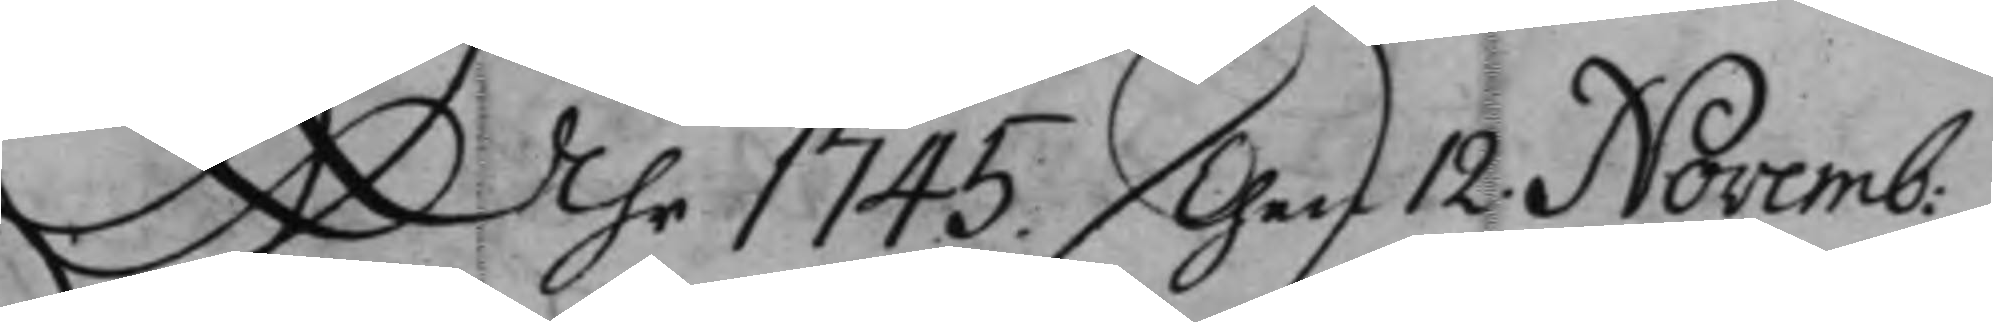Åhr 1745 Then 12. Novemb:
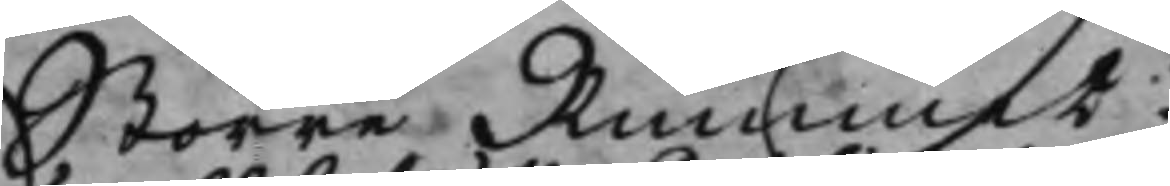Större Rummet.
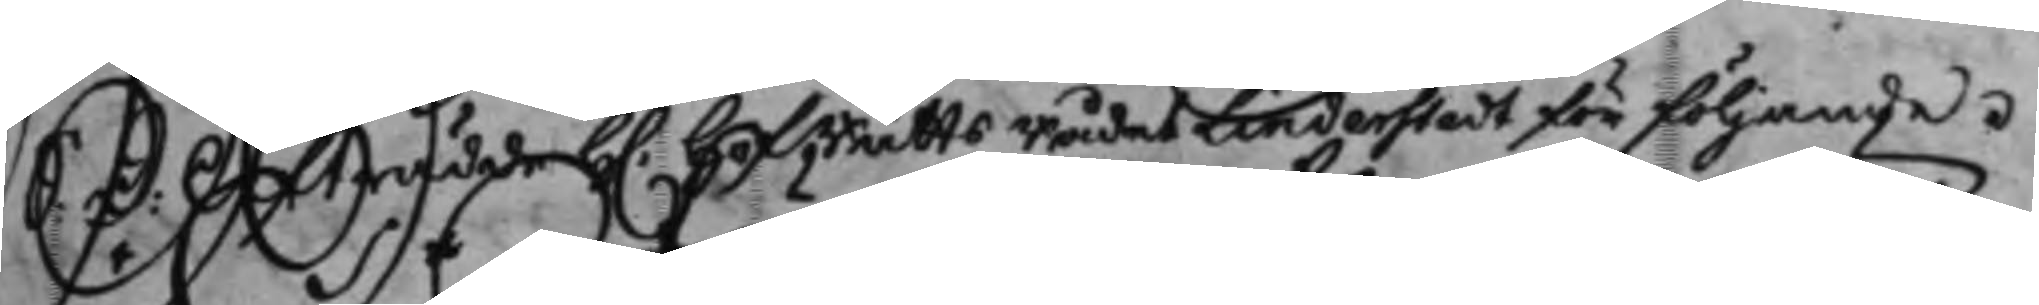S: D: Afträdde H. HofRättsRådet Linderstedt för följande.
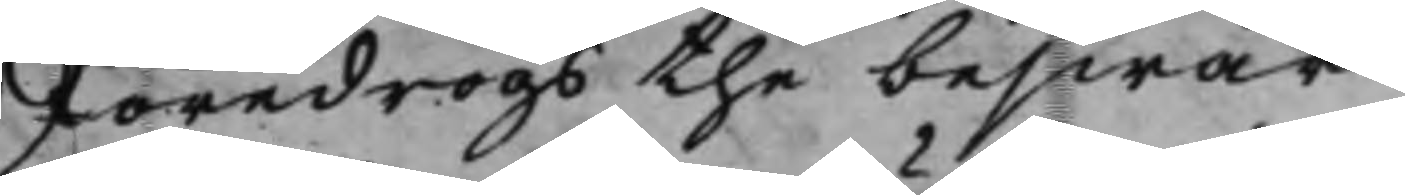Föredrogs the beswär
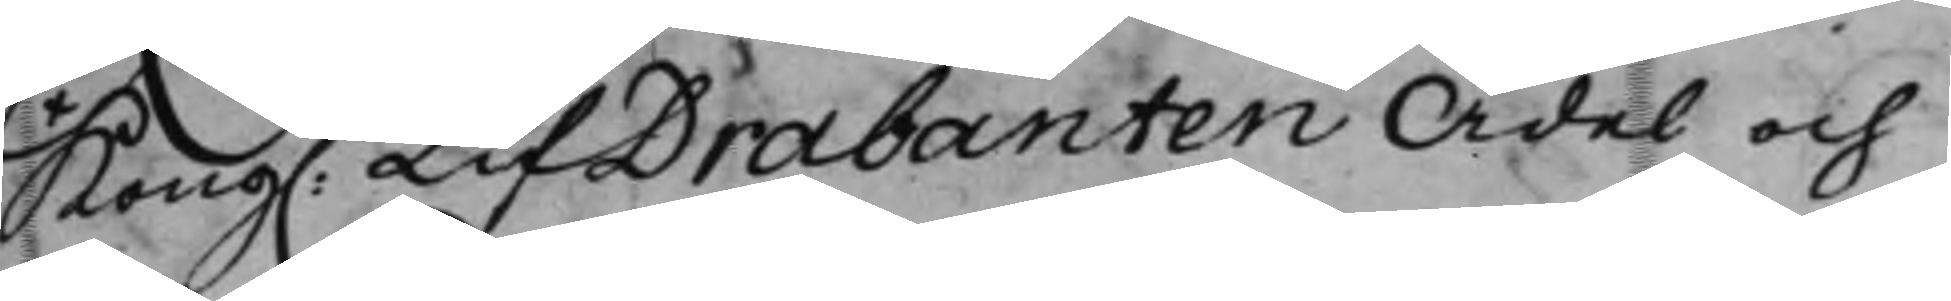Kong. LifDrabanten Ädel och
